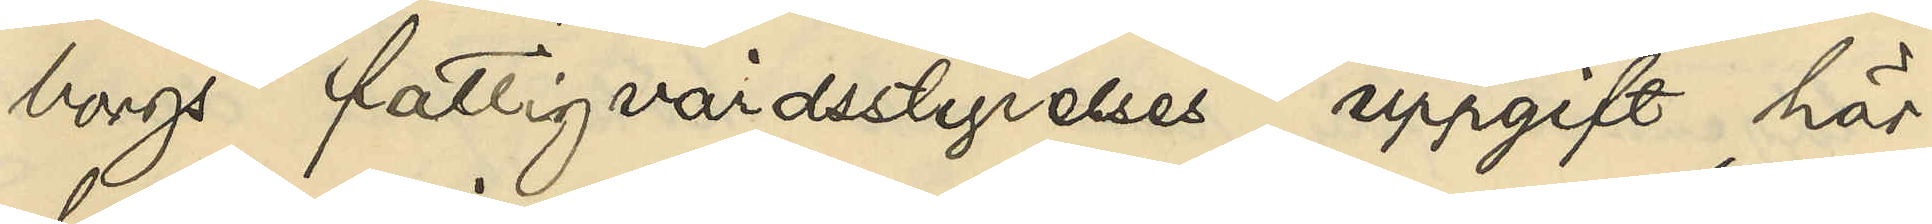borgs fattigvårdsstyrelses uppgift här¬
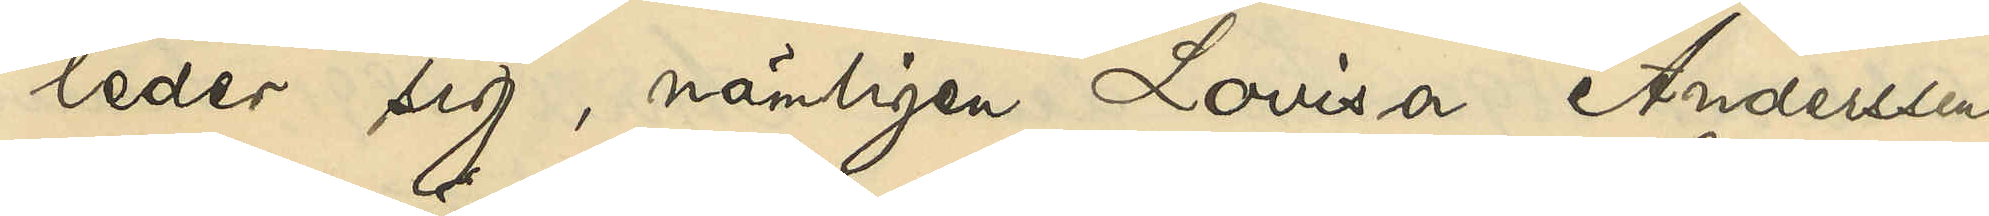leder sig, nämligen Lovisa Anderssons
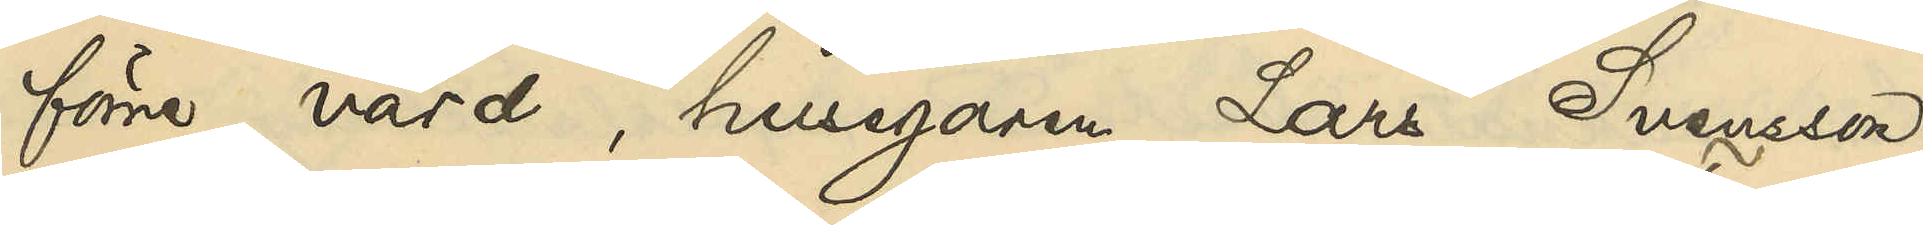förre värd, husegaren Lars Svensson,
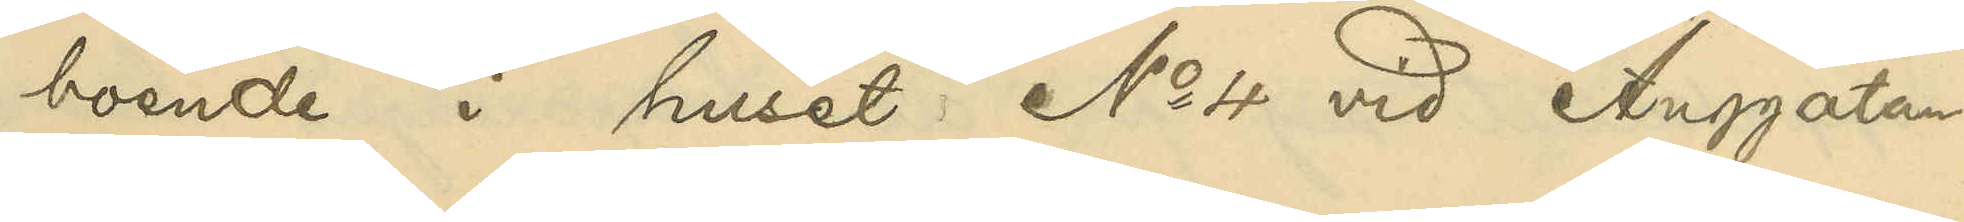boende i huset No 4 vid Änggatan
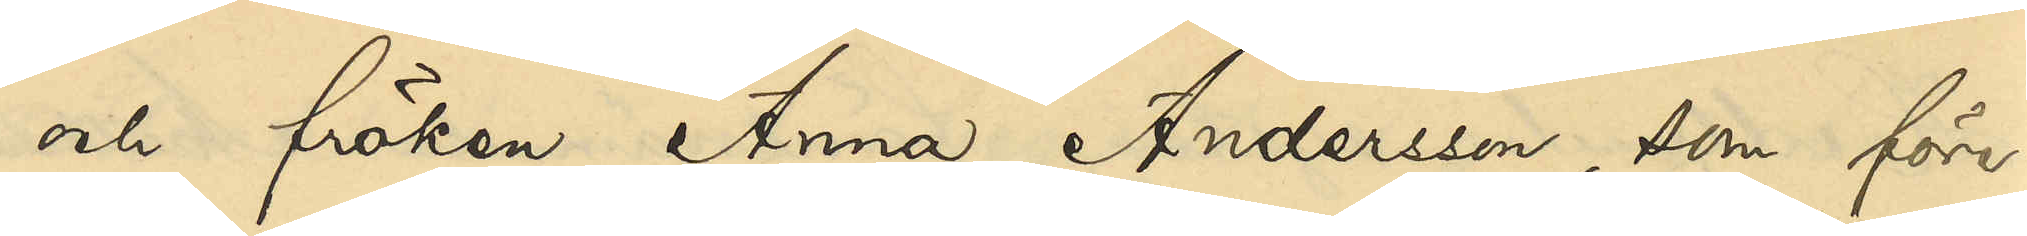och fröken Anna Andersson, som före¬
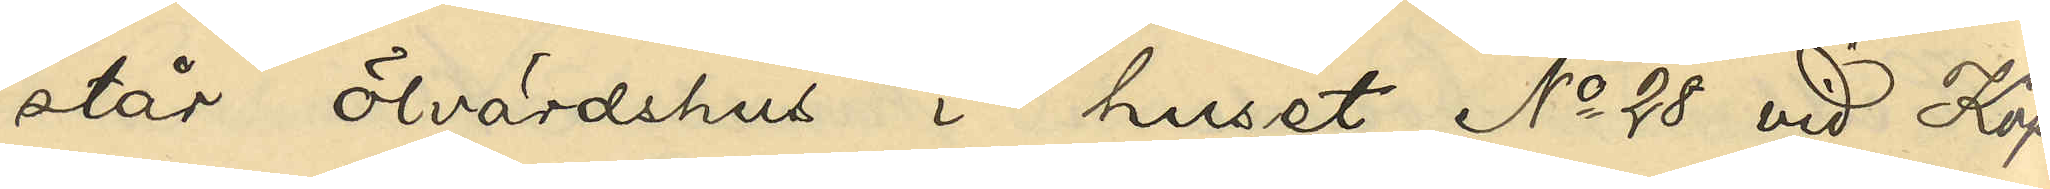står ölvärdshus i huset No 28 vid Köp¬
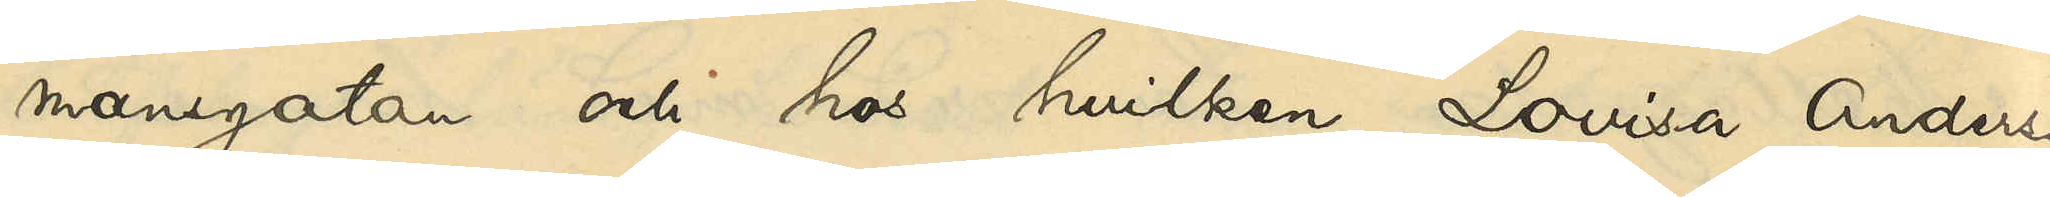mansgatan och hos hvilken Lovisa Andersson 
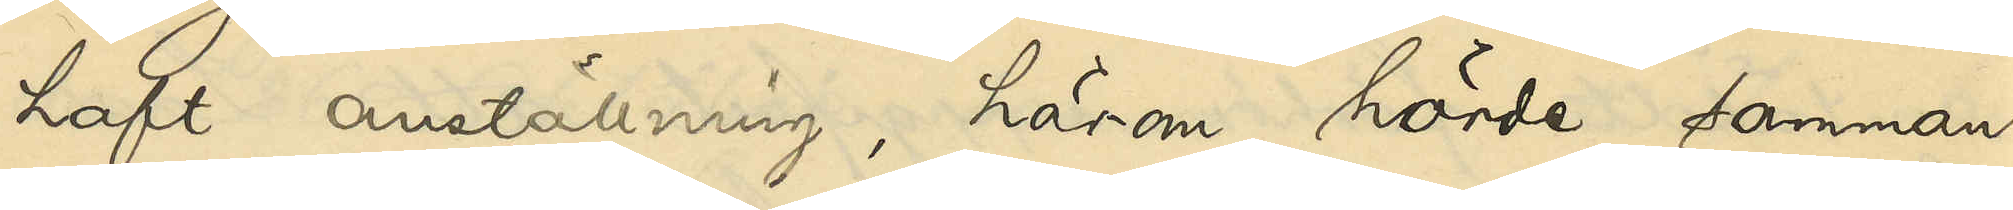haft anställning, härom hörde samman¬
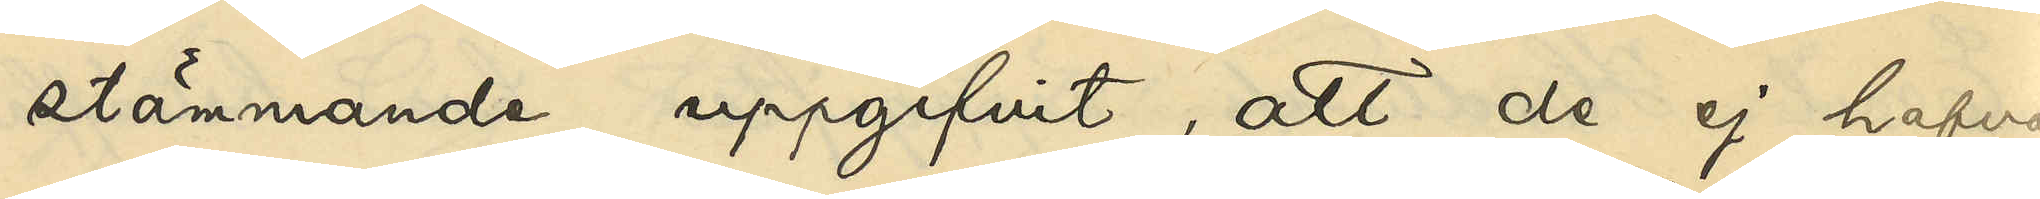stämmande uppgifvit, att de ej hafva
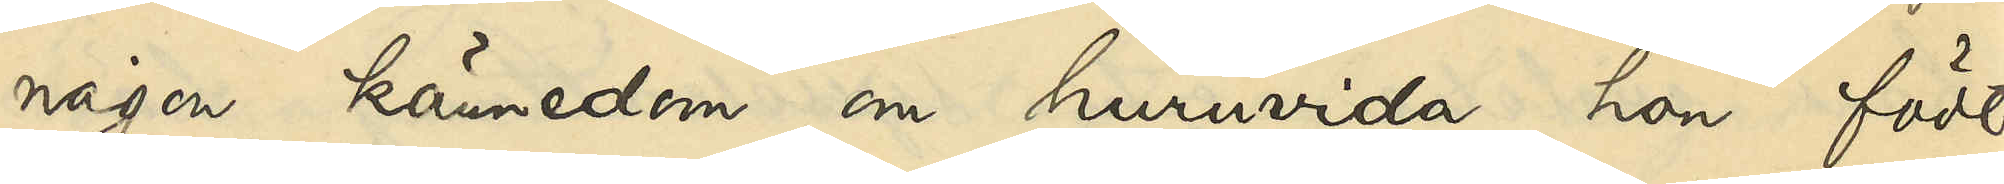någon kännedom om huruvida hon födt
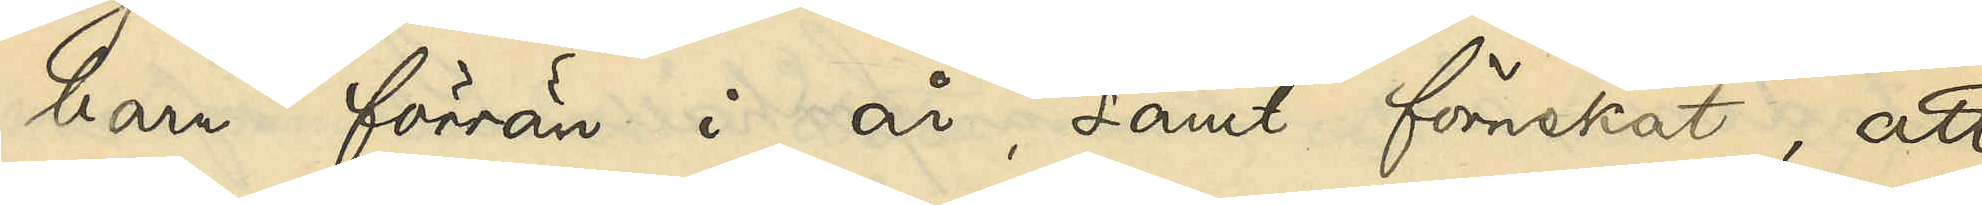barn förrän i år, samt förnekat, att
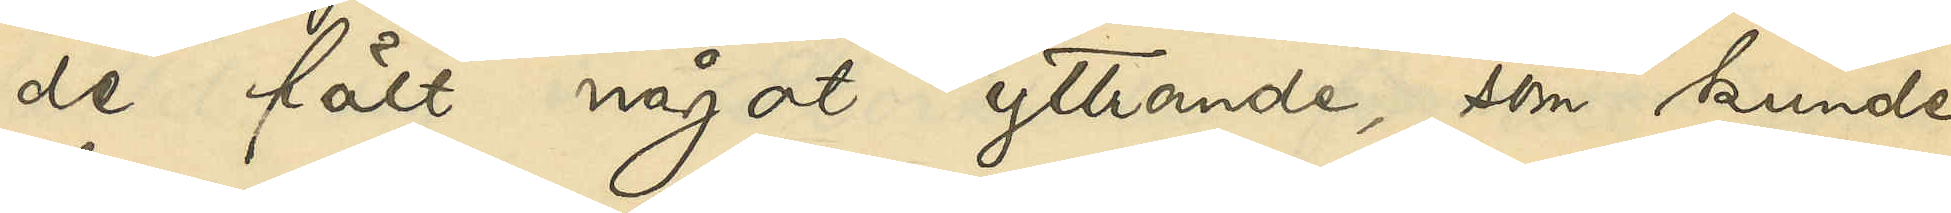de fält något yttrande, som kunde
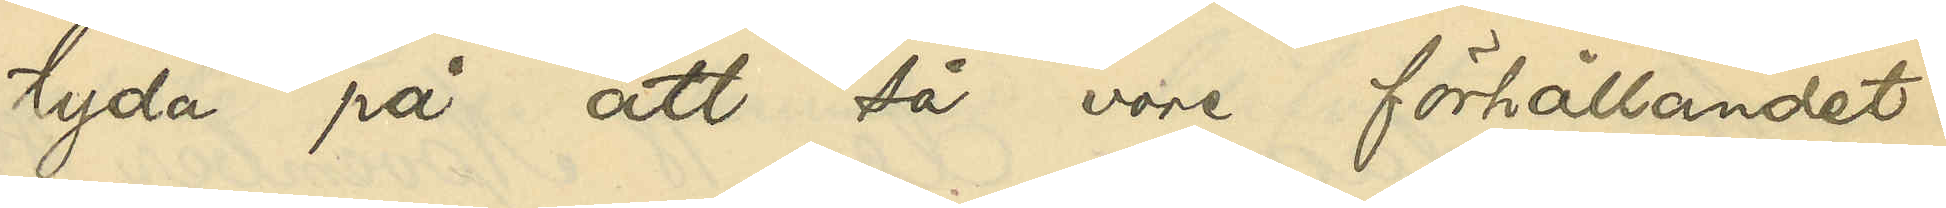tyda på att så vore förhållandet.
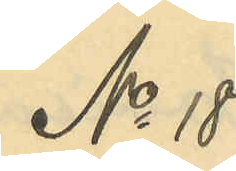No 18
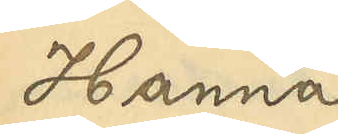Hanna
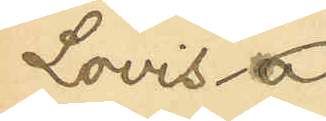Lovisa
